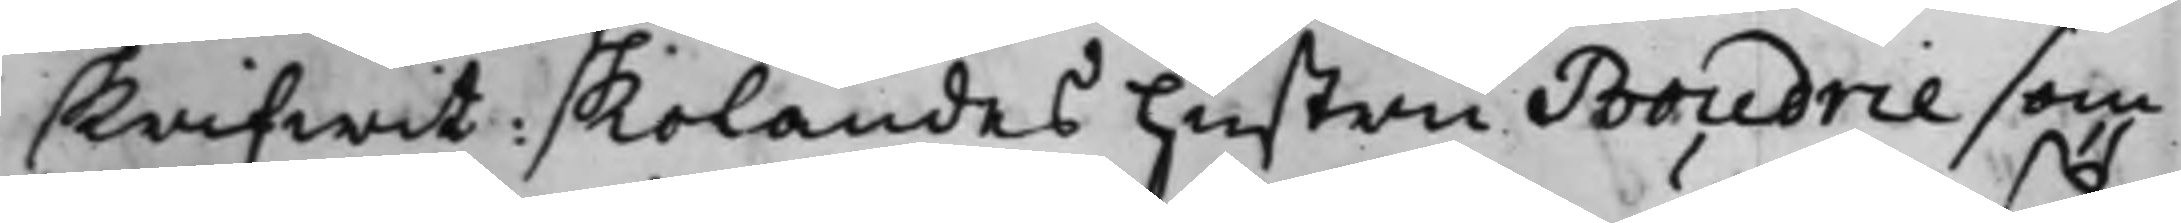skrifwit: skolandes hustru Boudrie som
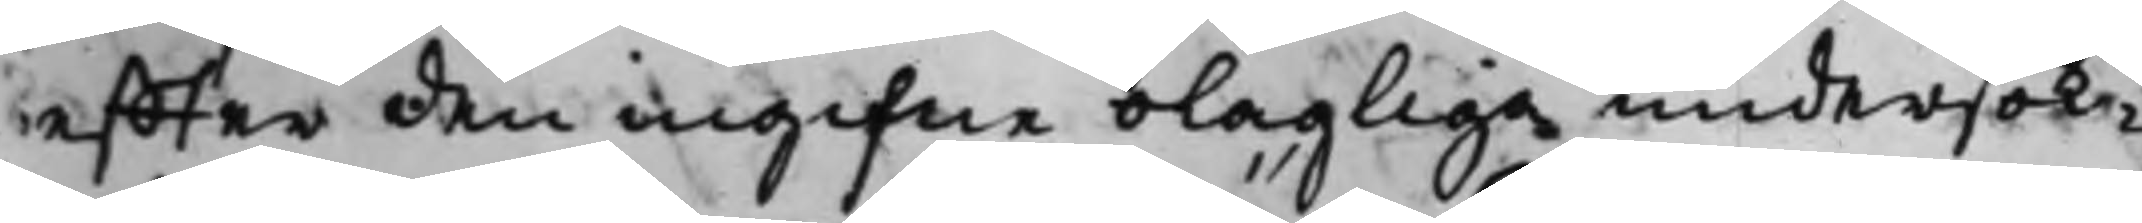effter den ingifne olagliga undersök¬
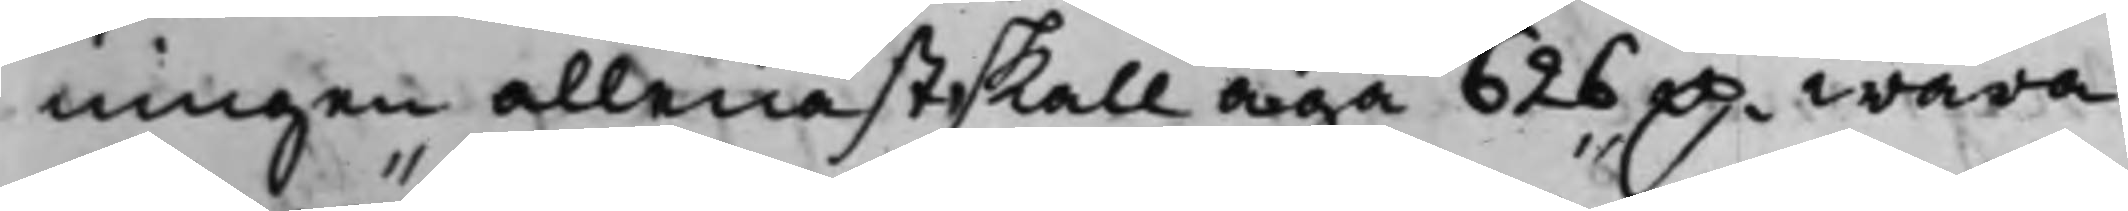ningen allenast skall äga 626 D.r wara
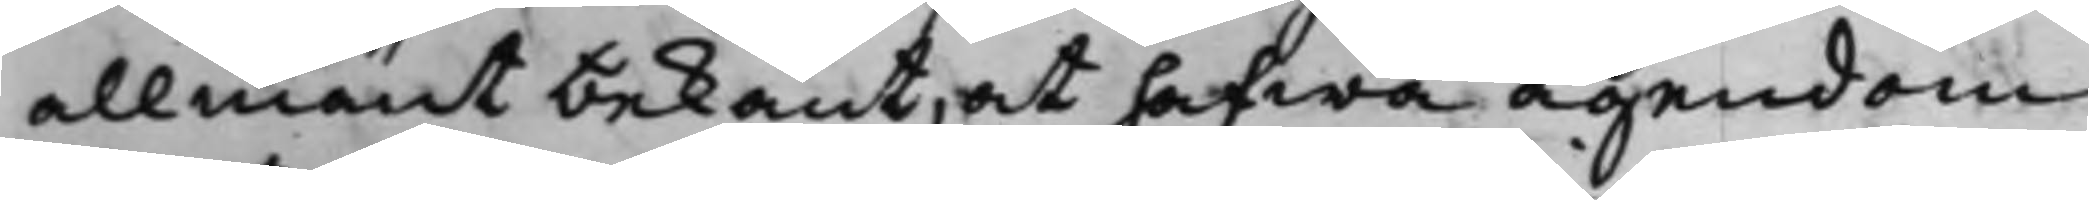allmänt bekant, at hafwa ägendom
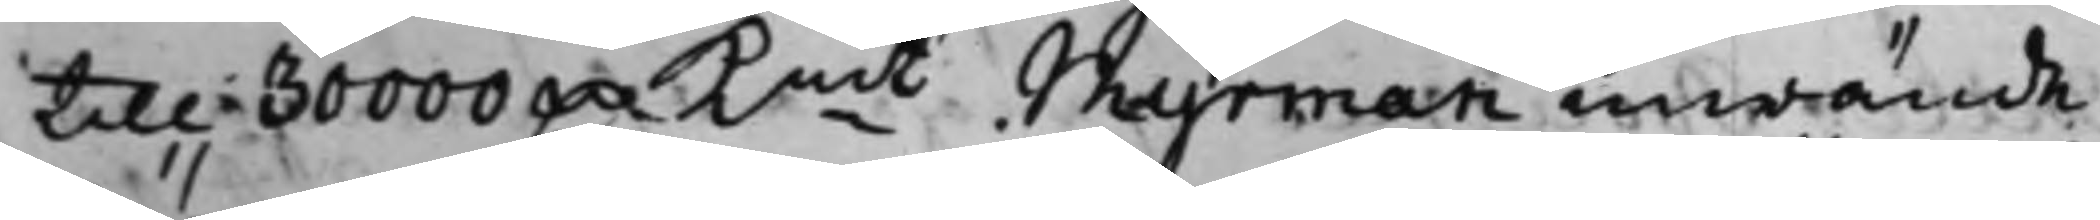till 30000 D.r Kmt. Myrman inwände,
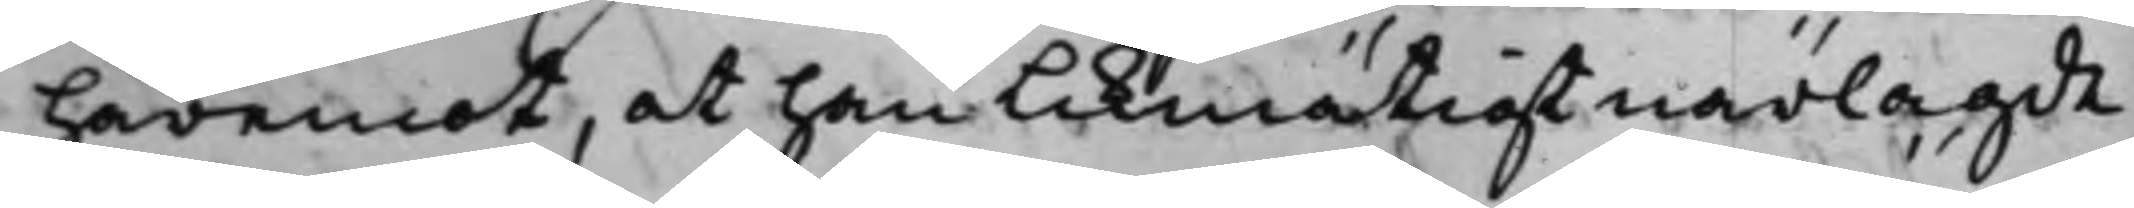häremot, at han Likmätigt närlagde
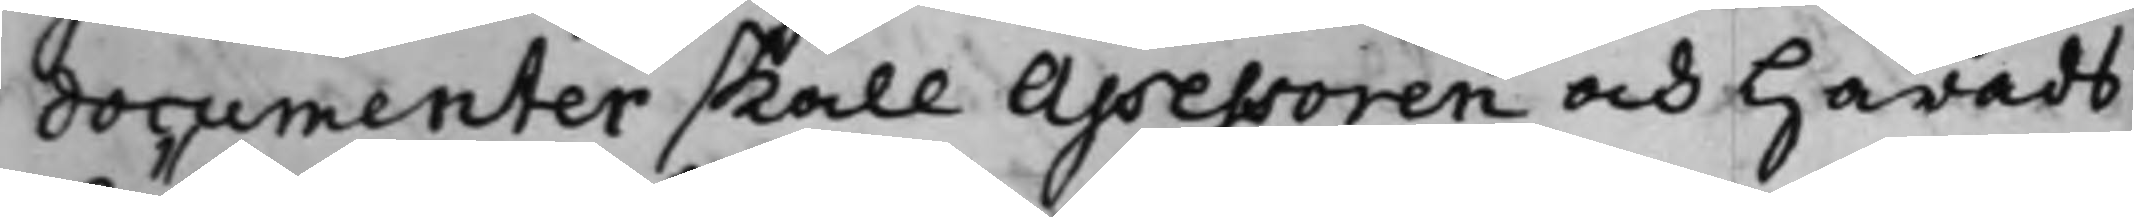documenter skall Assessoren och Härads¬
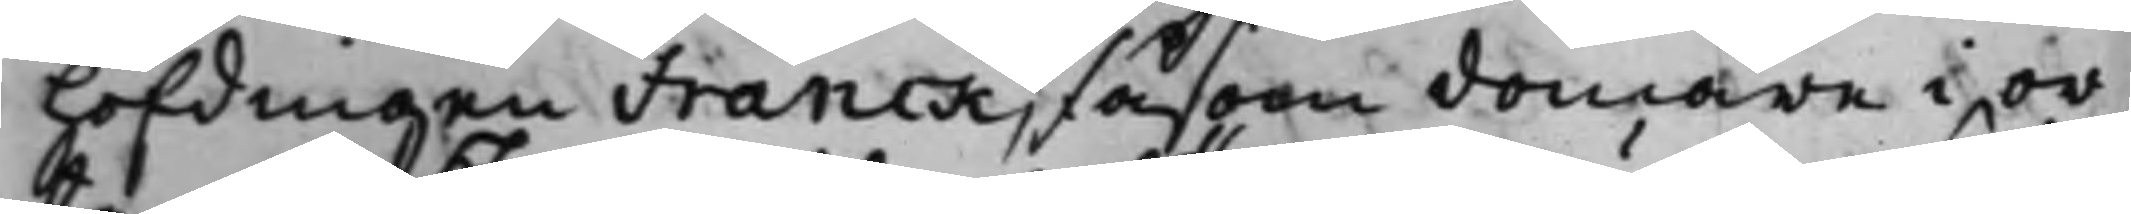höfdingen Franck, såsom domare i or¬
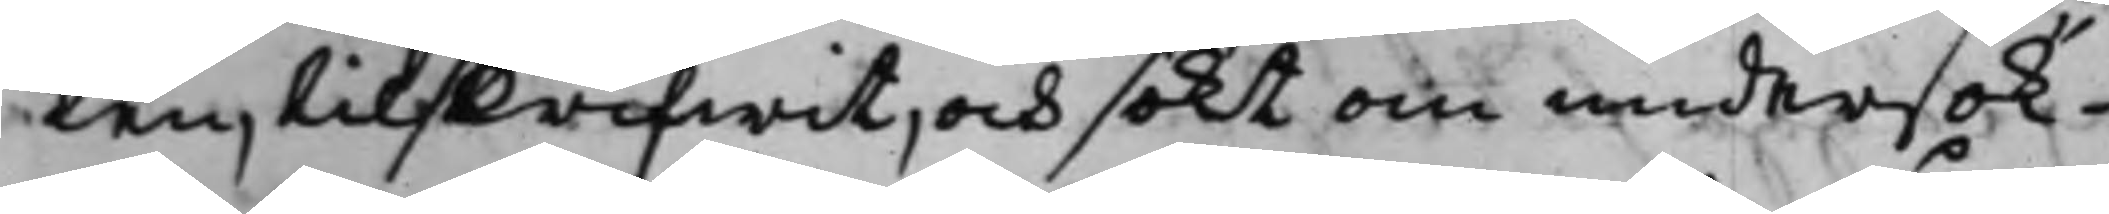ten, tilskrifwit, och sökt om undersök¬
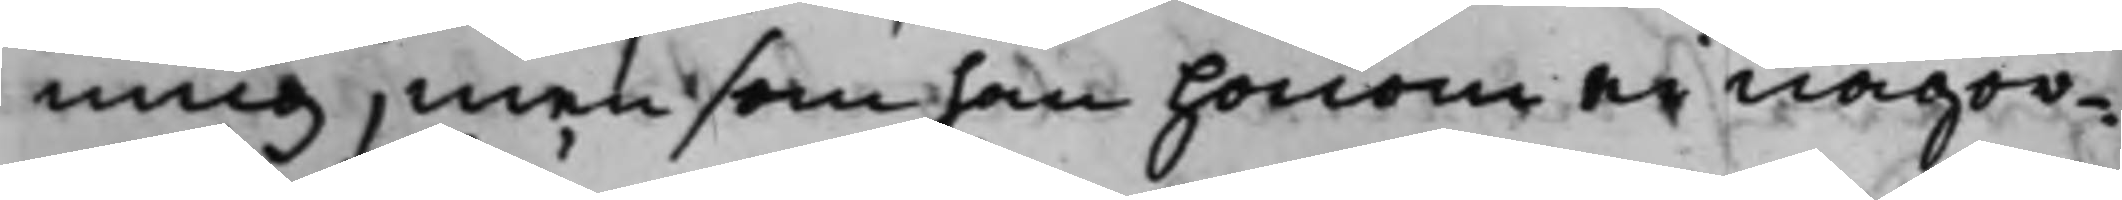ning, men som han honom ei någor¬
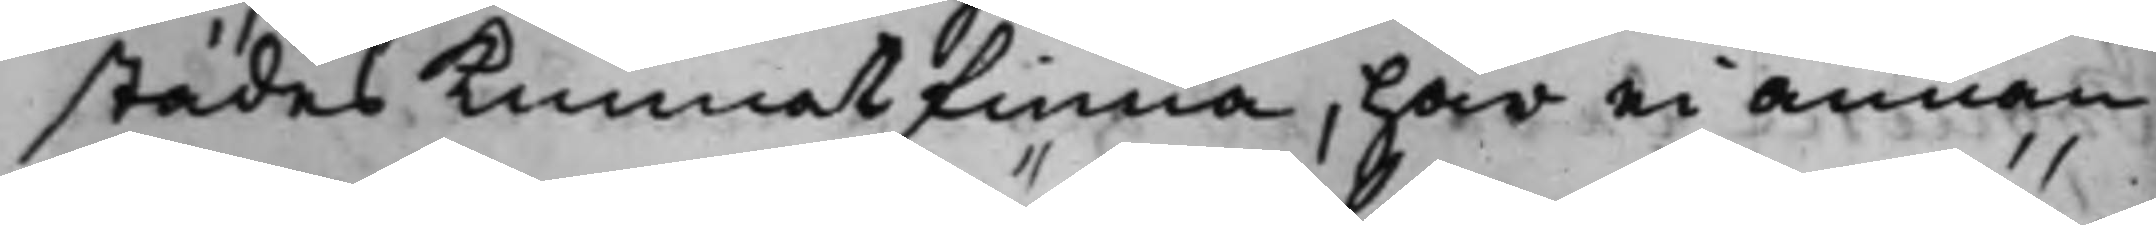städes kunnat finna, har ei annan
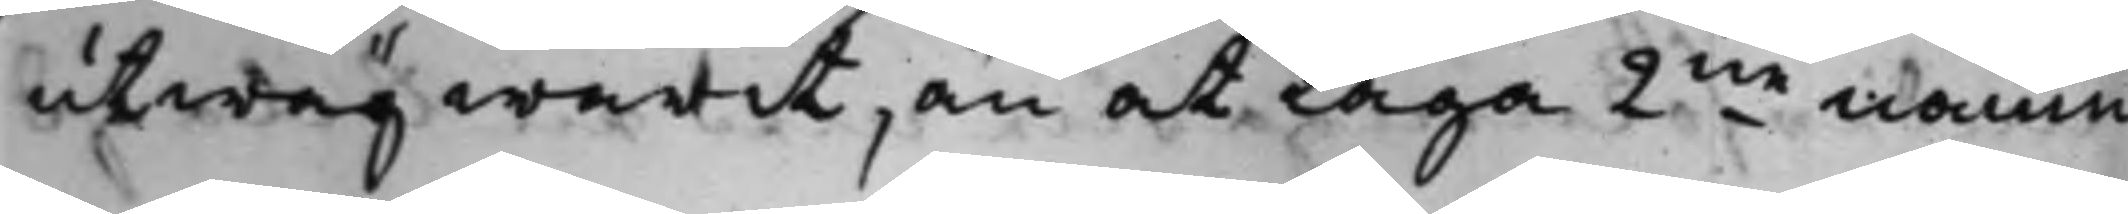utwäg warit, än at laga 2ne nämn¬
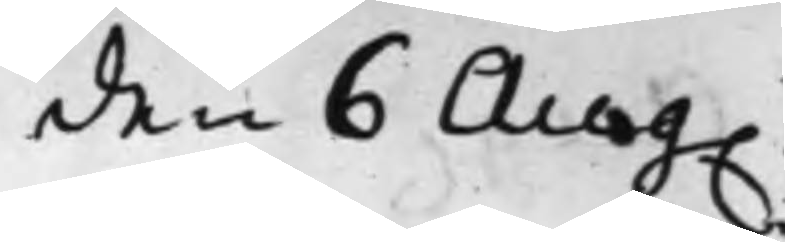den 6 Aug.
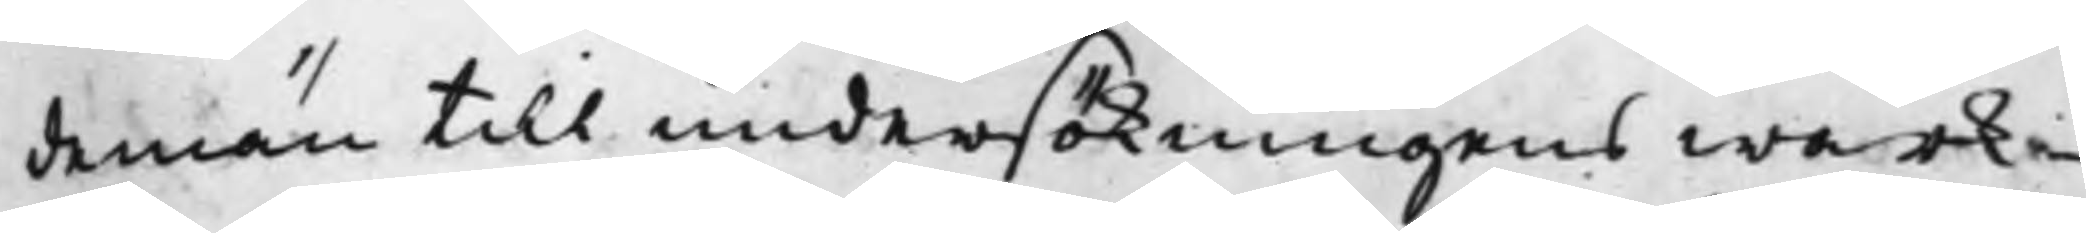demän till undersökningens wärk¬
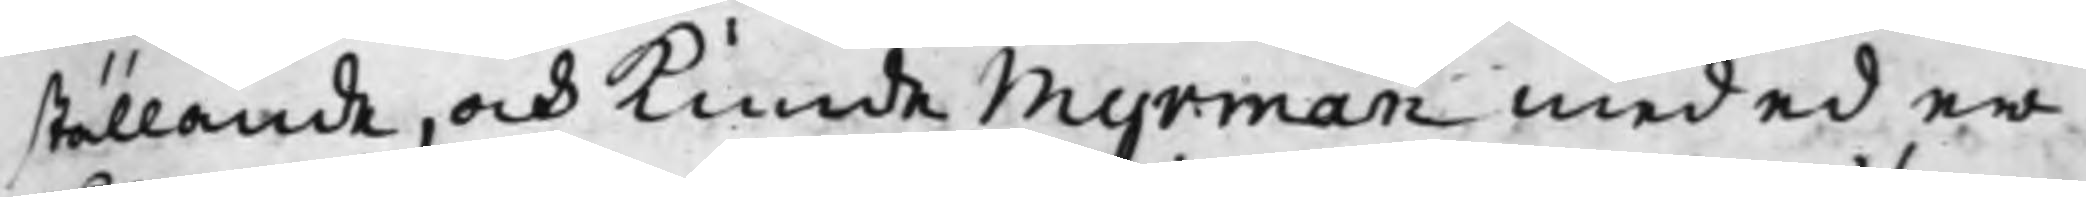ställande, och kunde Myrman med ed er¬
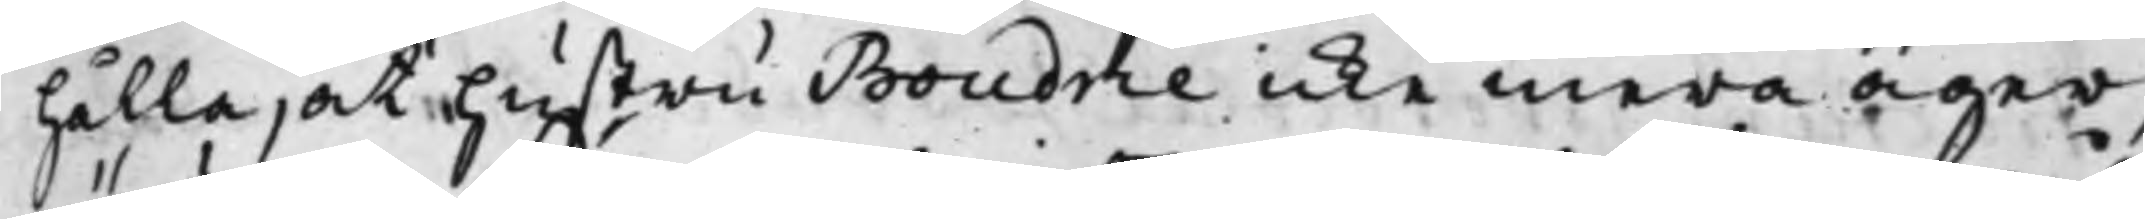hålla, at hustru Boudrie icke mera äger,
